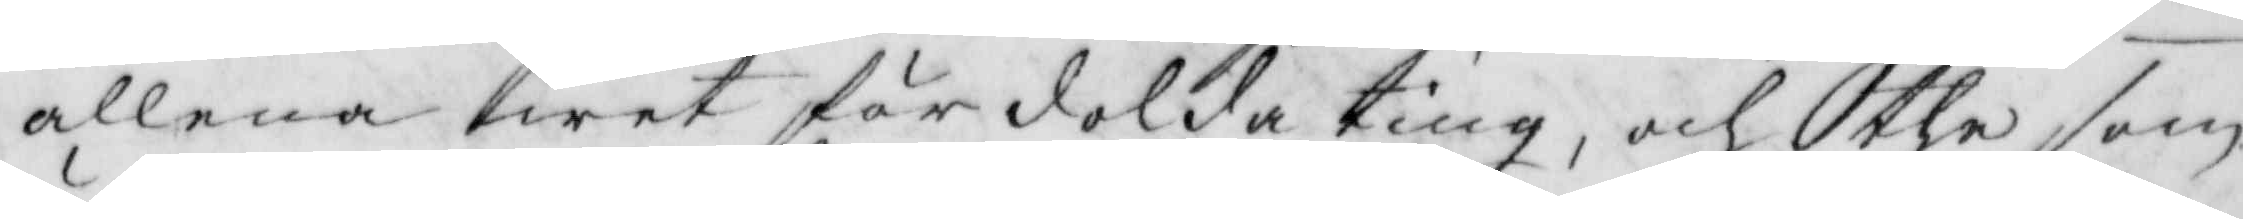allena wet fördolda ting, och the som
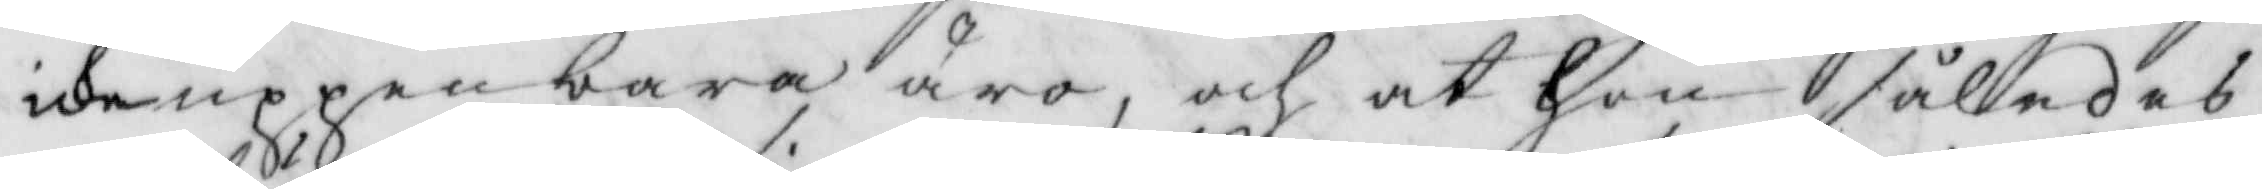icke uppenbara äro, och at hon således
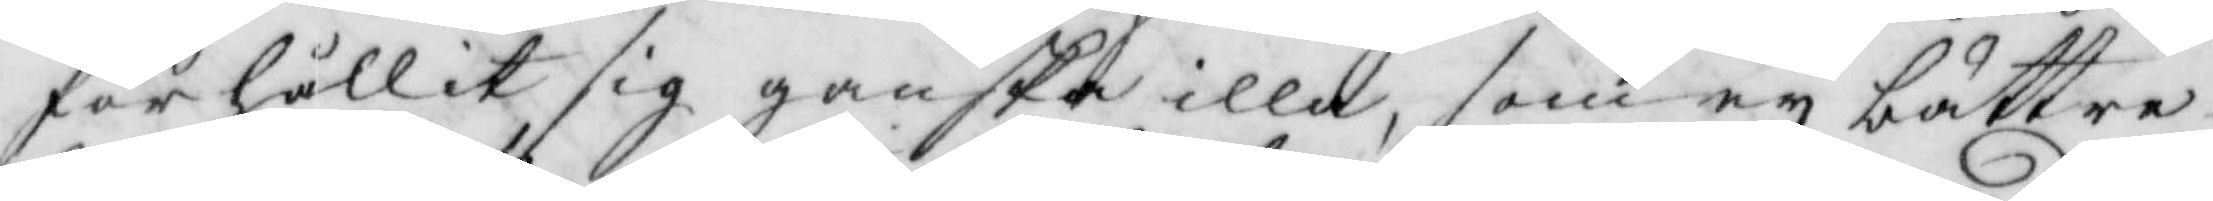förhållit sig ganska illa, som ey bättre
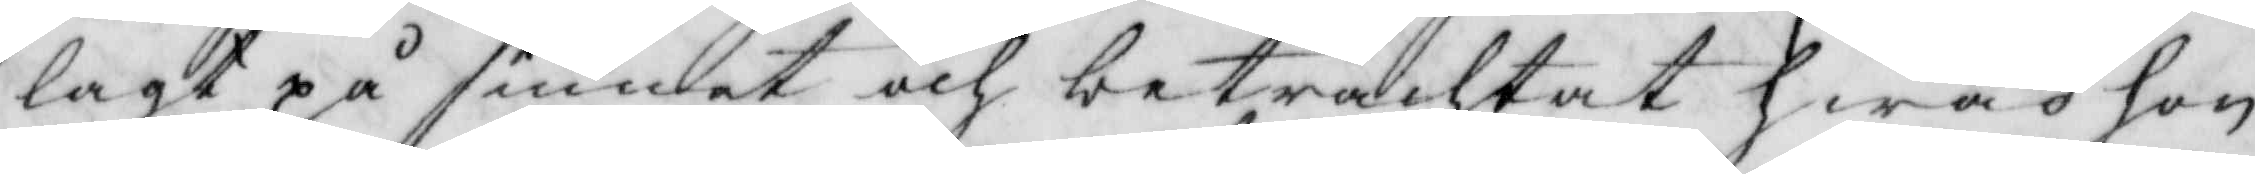lagt på sinnet och betrachtat hwad hon
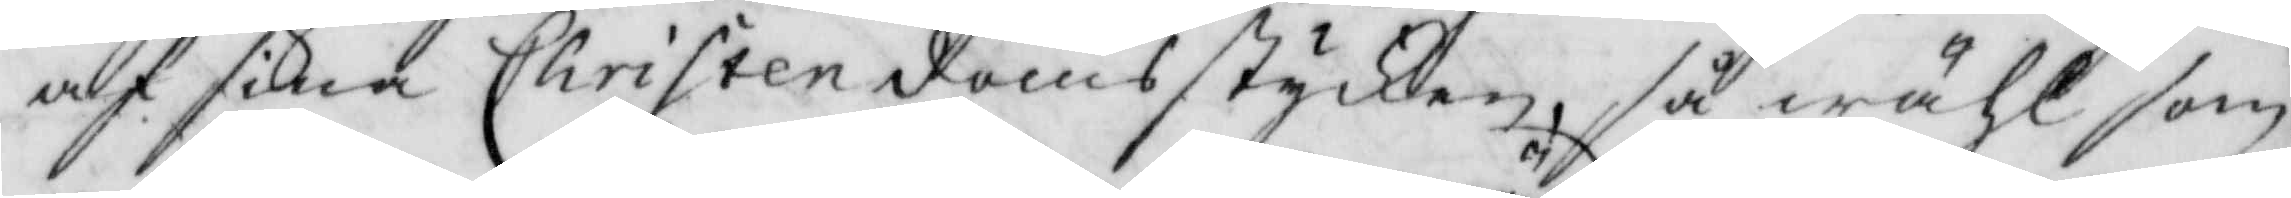af sina Christendomsstycken, så wähl som
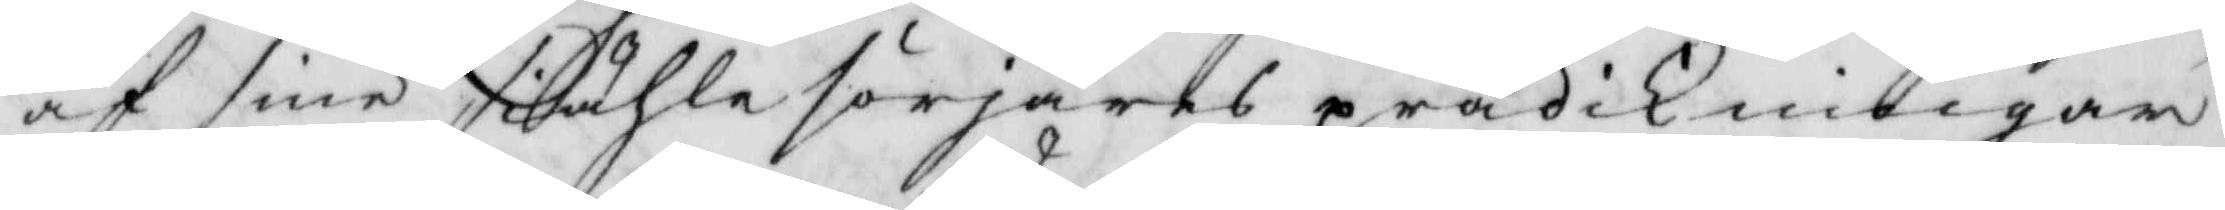af sine siählesörjares prädikningar
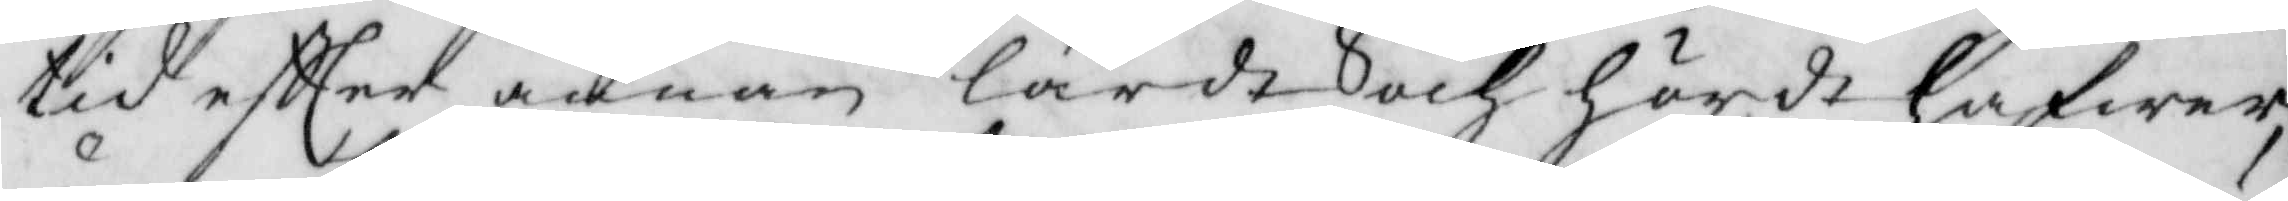tid eftter annan lärdt och hördt hafwer,
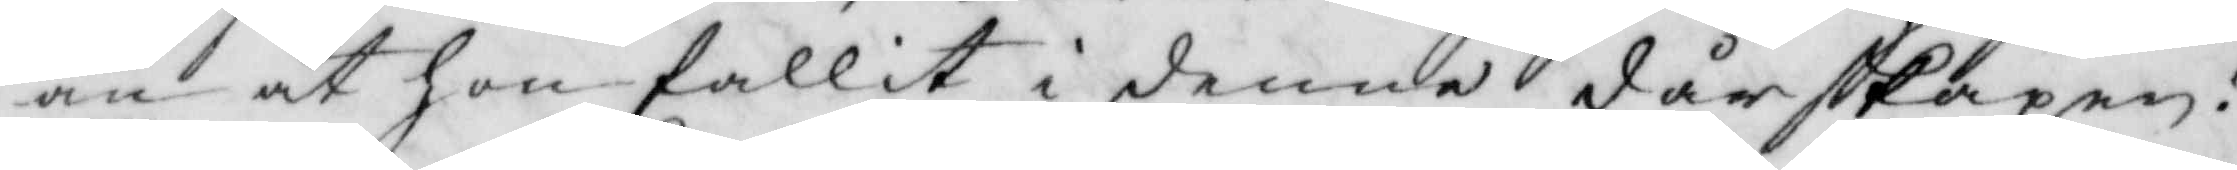än at hon fallit i denne dårskapen!
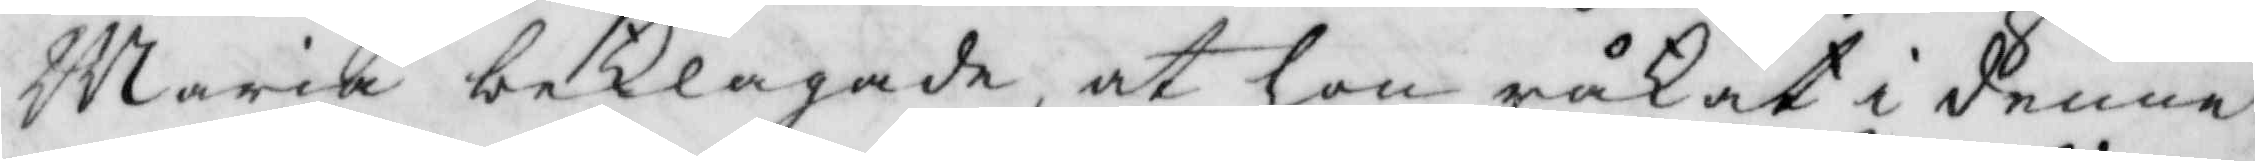Maria beklagade at hon råkat i denne
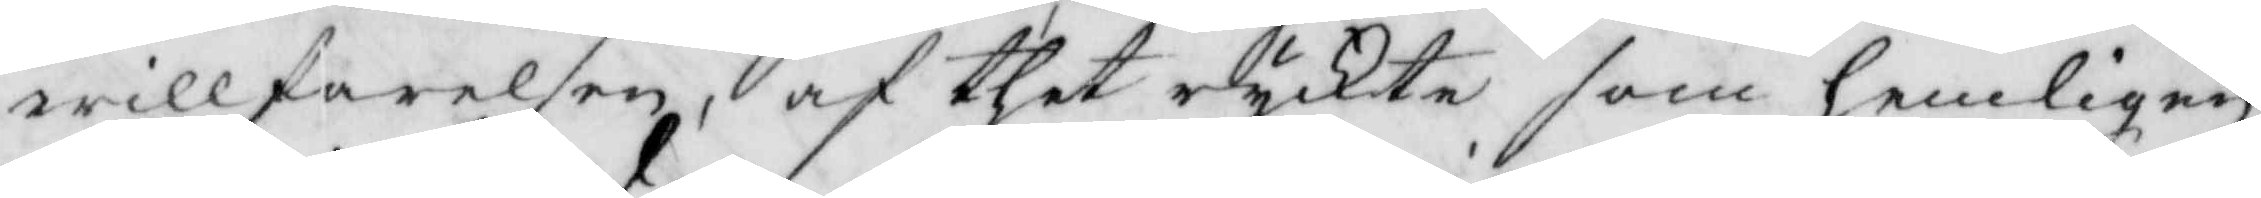willfarlesen, af thet ryckte som hemligen
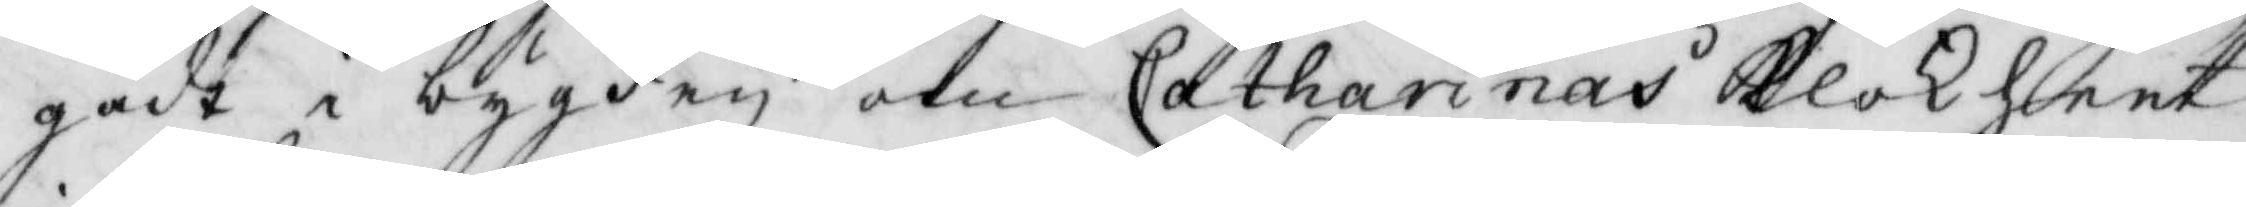gådt i bygden, om Catharinas Klokheet
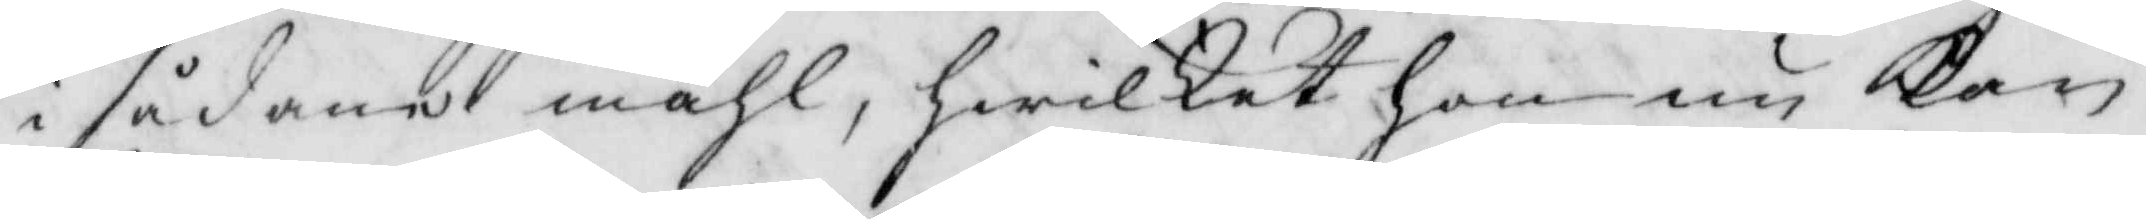i sådant måhl, hwilket hon nu kan
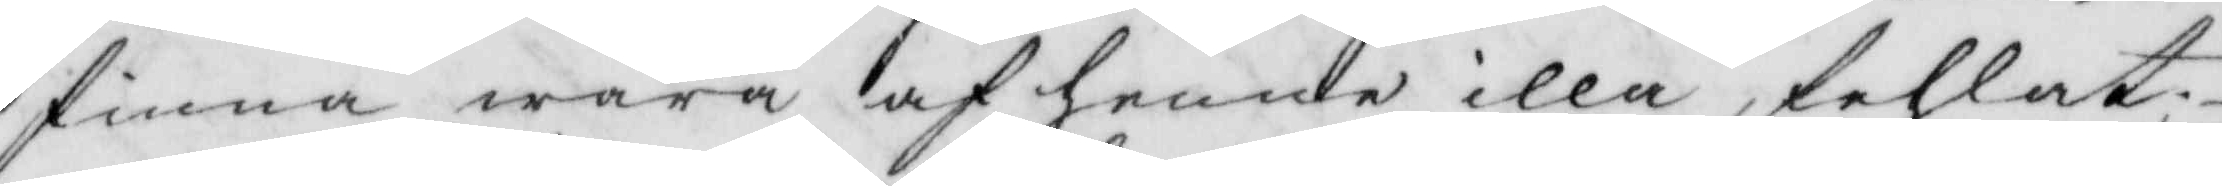finna wara af henne illa fehlat
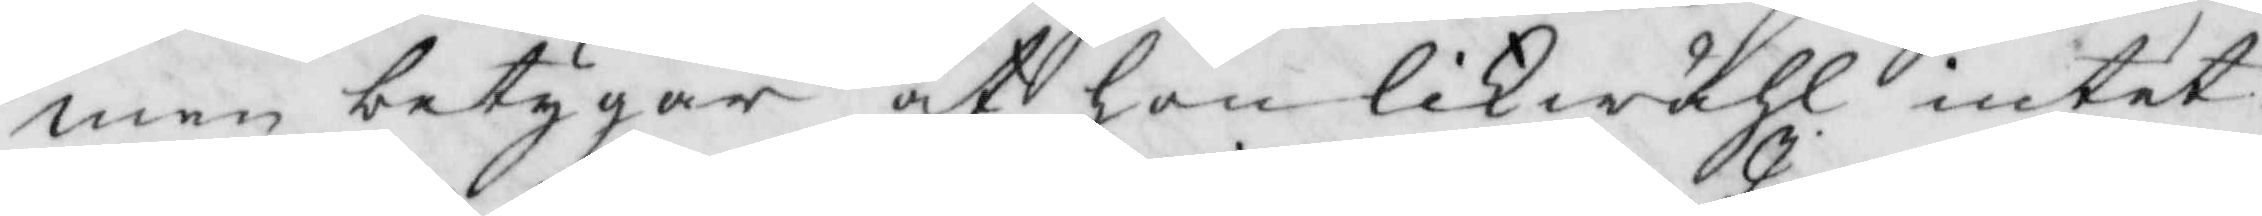men betygar at hon likwähl intet
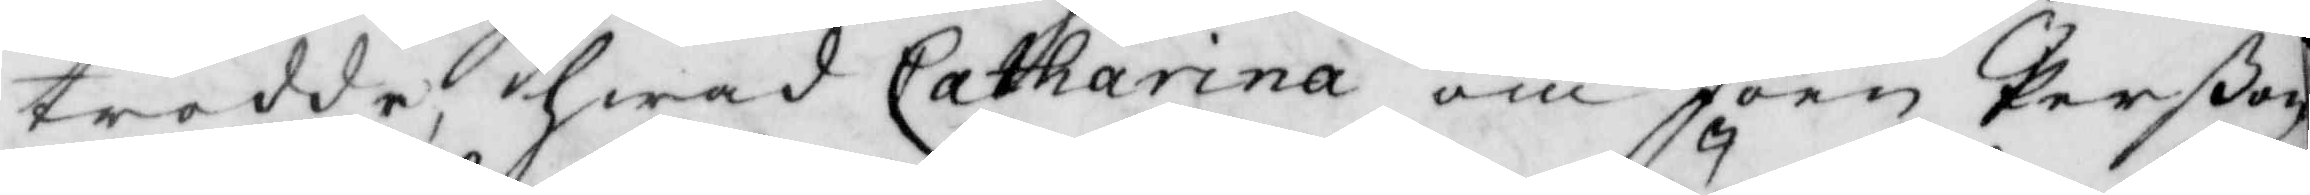trodde, hwad Catharina om Joen Perßon
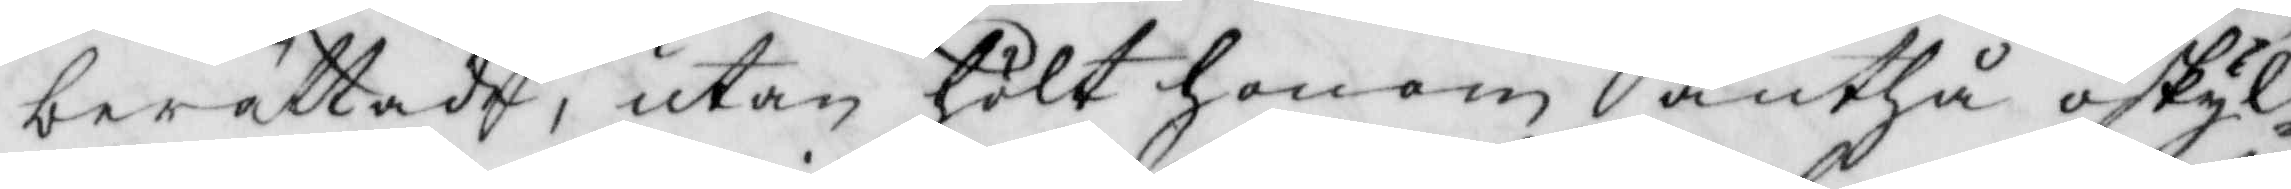berättade, utan hölt honom änthå oskyl¬
